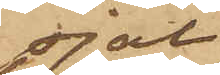sjal
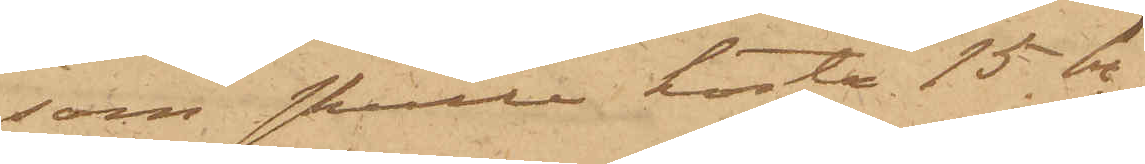som skulle kosta 15 kr;
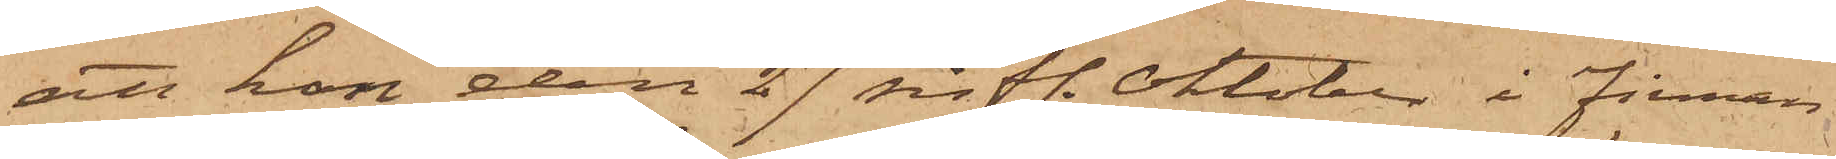att hon den 27 sistl. Oktober i Firman
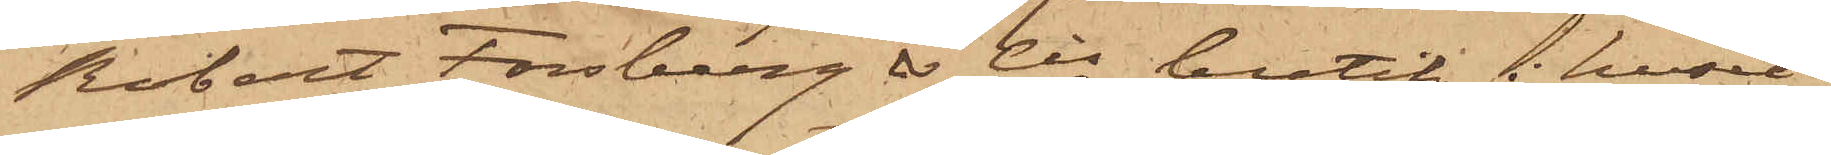Robert Forsberg & Cis butik i huset
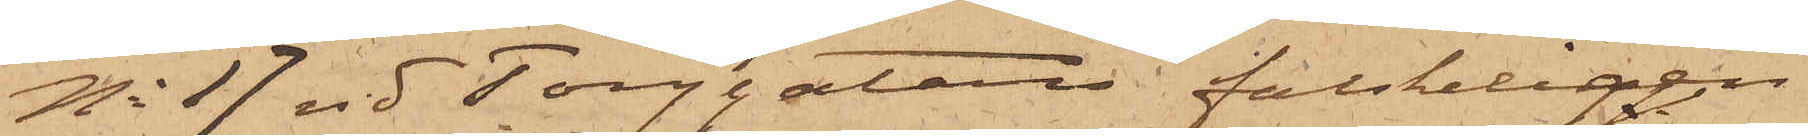No 17 vid Torggatan falskeligen
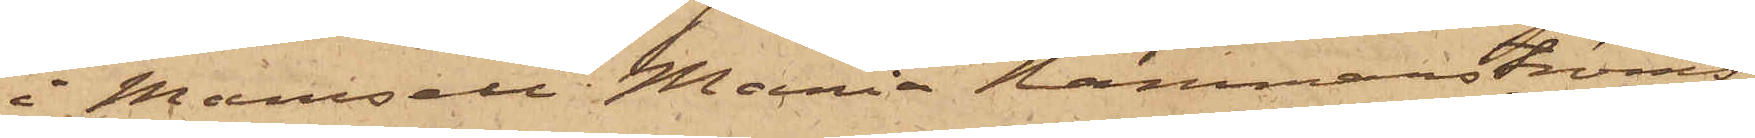i Mamsell Maria Hammarströms
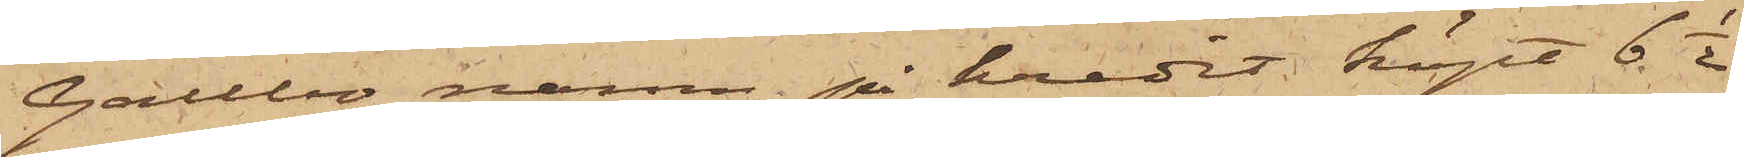i Gallbo namn på kredit köpt 6 1/2
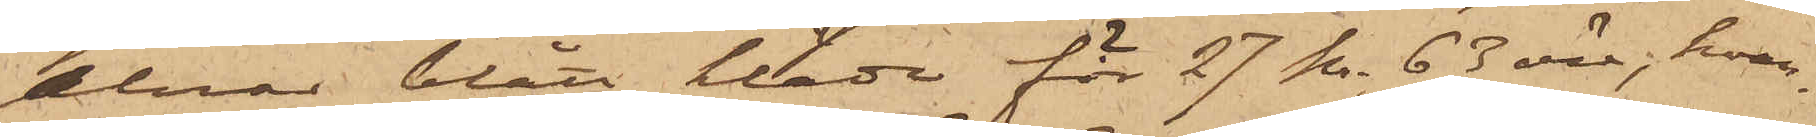alnar blått kläde för 27 kr. 63 öre, hvar¬
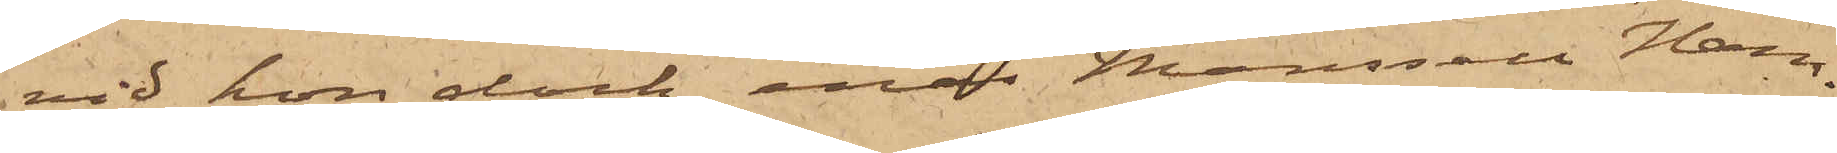vid hon dock, enär Mamsell Ham¬
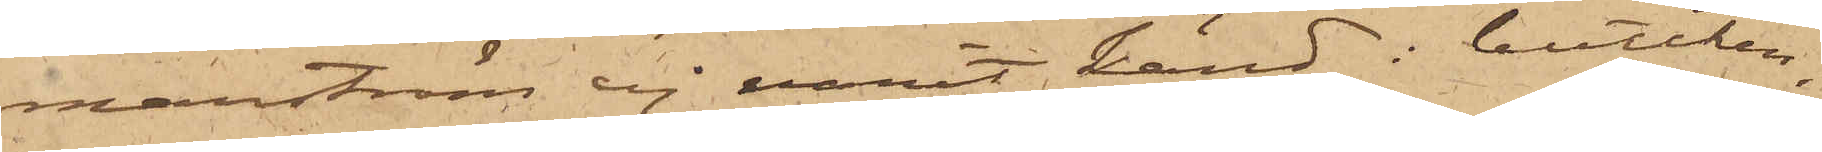marström ej varit känd i butiken,
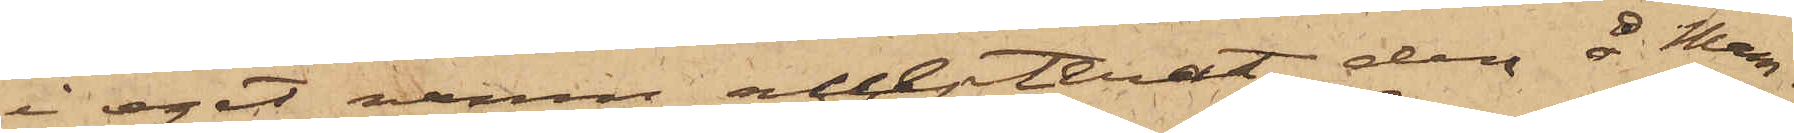i eget namn accepterat den å Mam¬
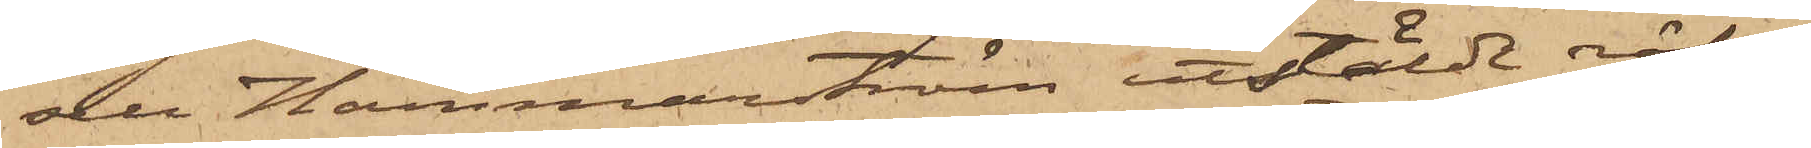sell Hammarström utstälde räk¬
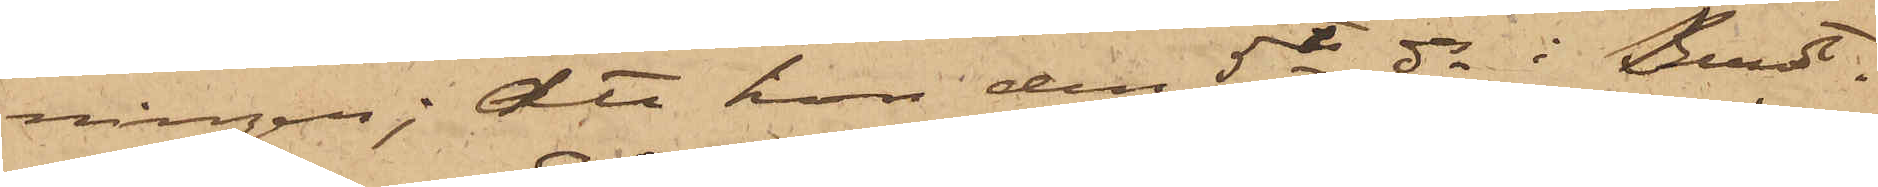ningen; att hon den 5te ds i Bundt¬
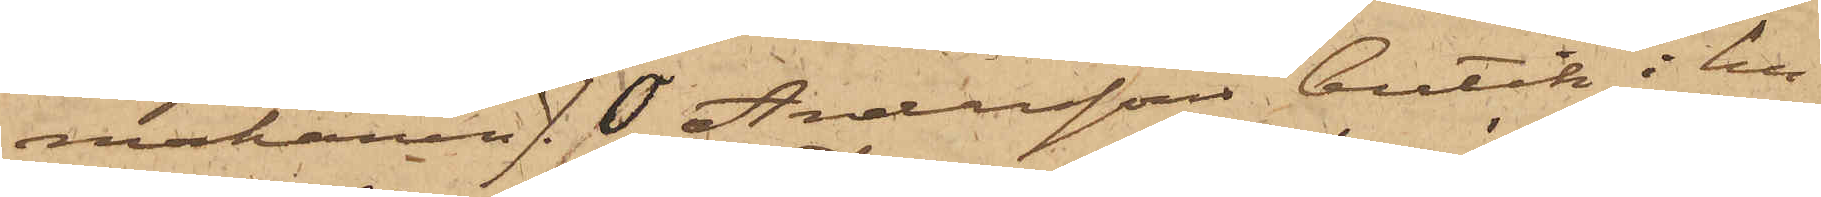makaren J. O. Anderssons butik i hu¬
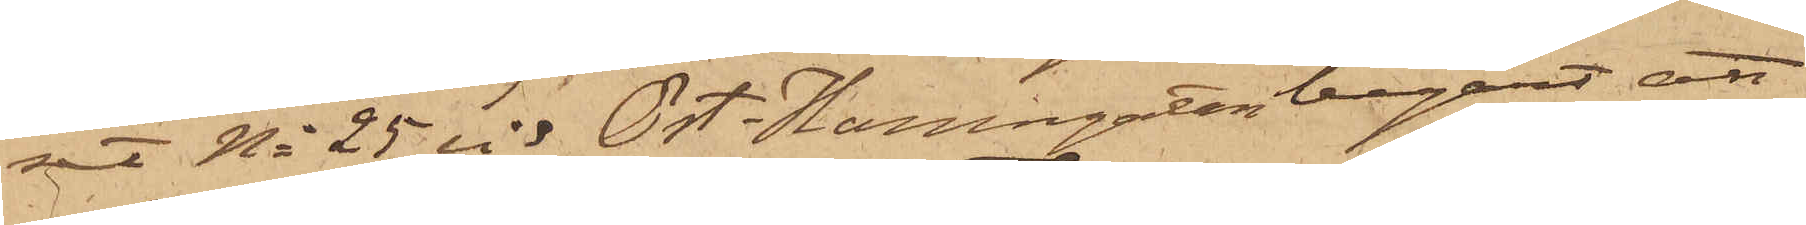set No 25 vid Öst. Hamngatan begärt att
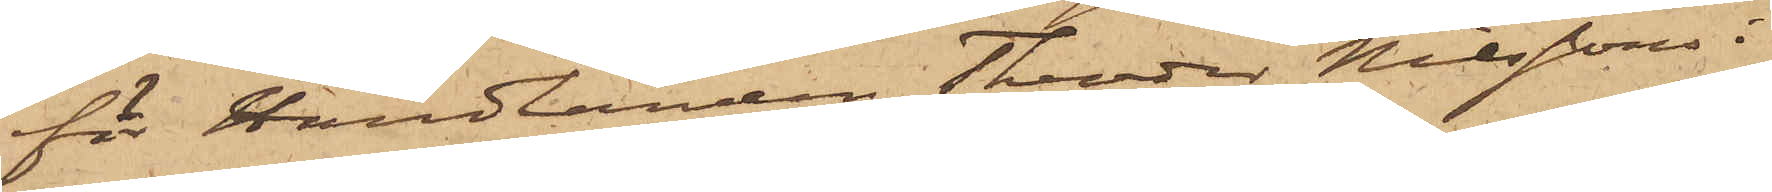för Handlanden Theodor Nilssons i
